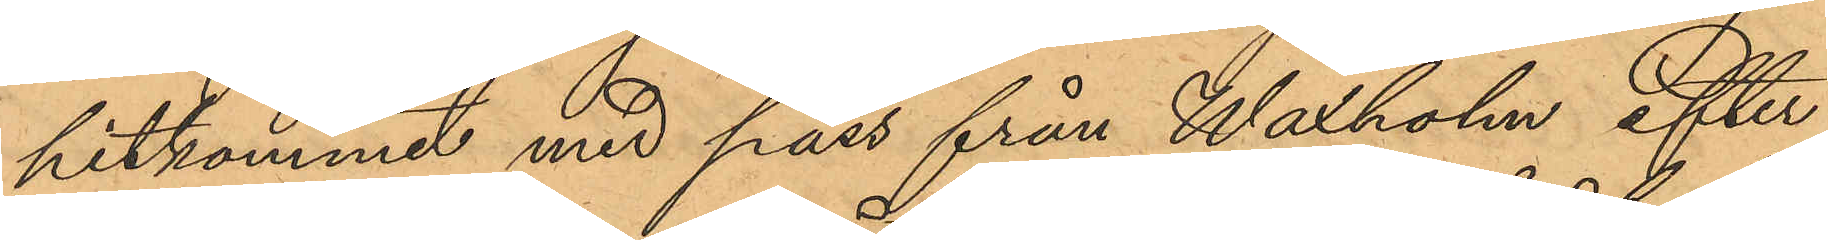hitkommit med pass från Waxholm efter
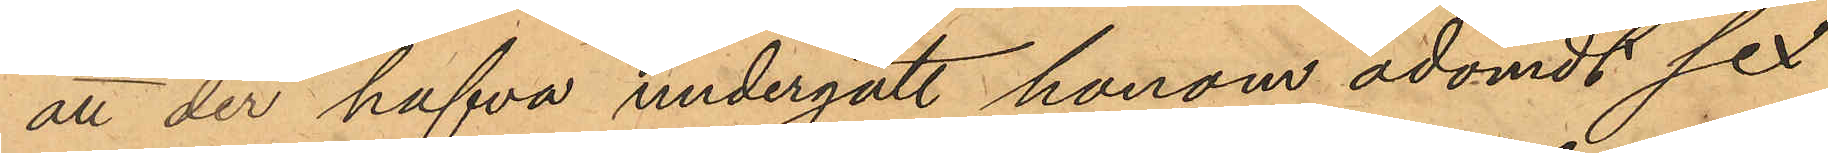att der hafva undergått honom ådömdt sex
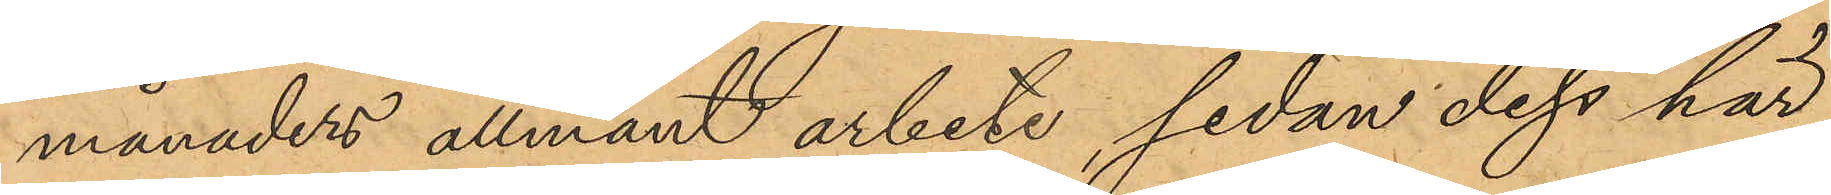månaders allmänt arbete, sedan dess här
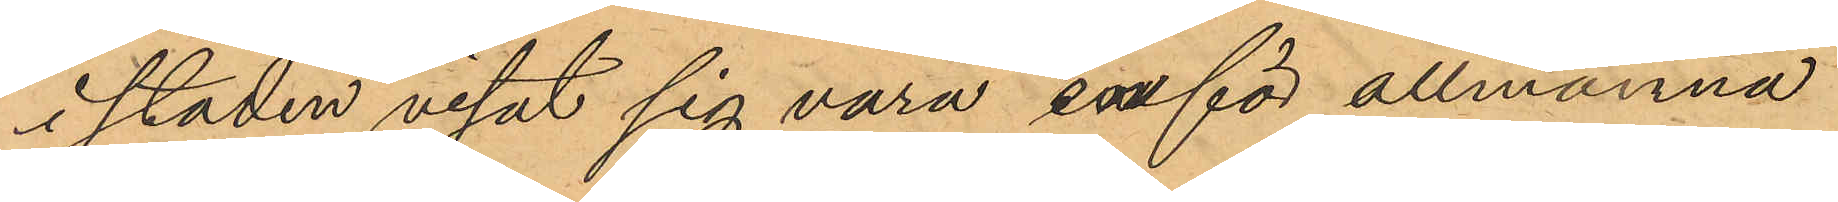i staden visat sig vara inför allmänna
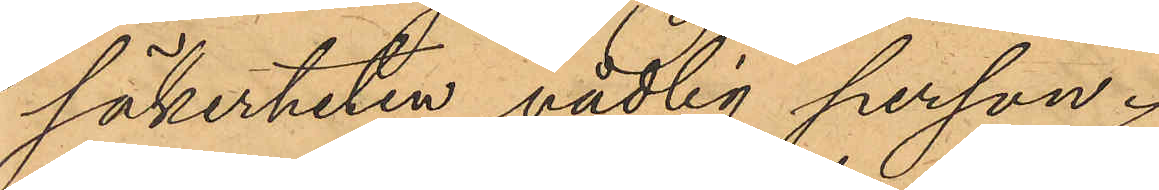säkerheten vådlig person.
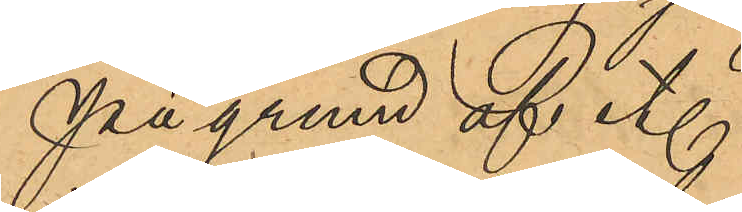På grund af et.
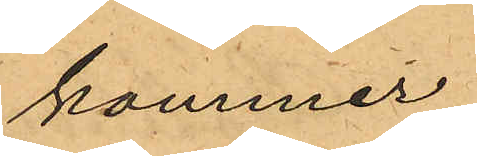kommer
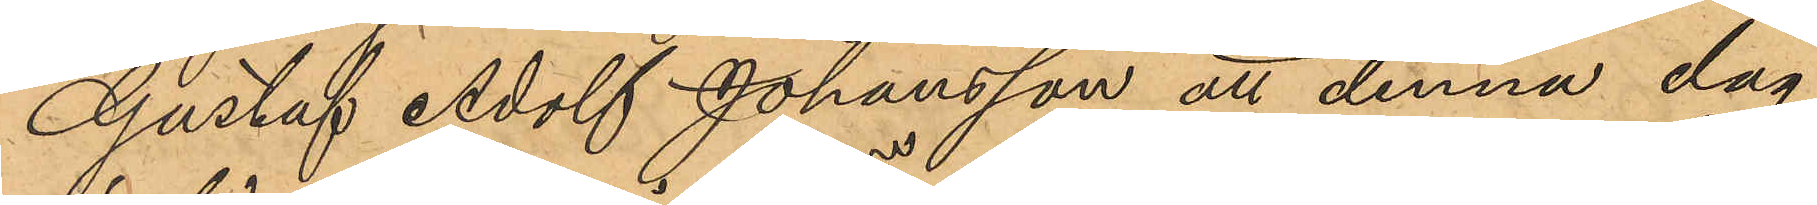Gustaf Adolf Johansson att denna dag
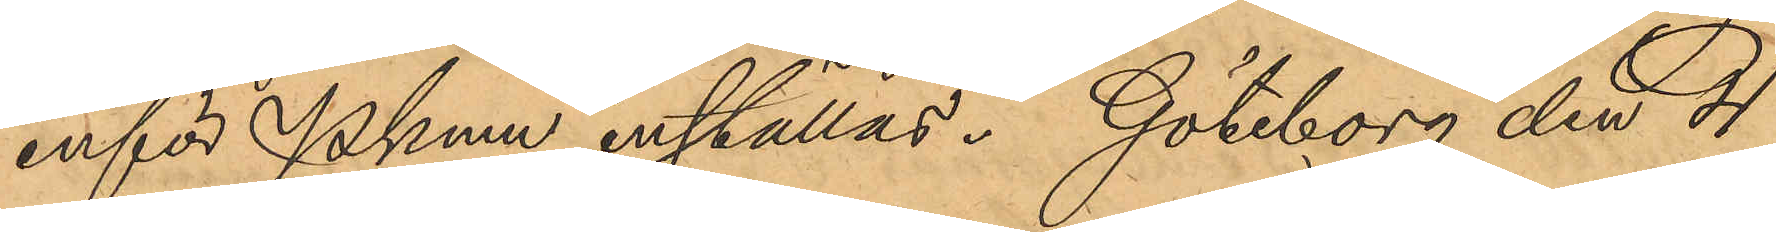inför Pkmn inställas. Göteborg den 4
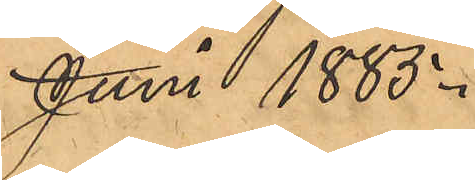Juni 1885.
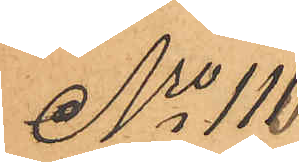No 110
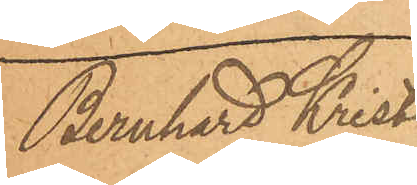Bernhard Kristi¬
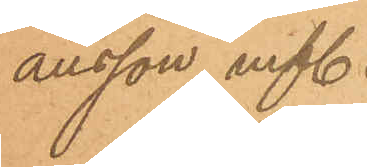ansson m fl.
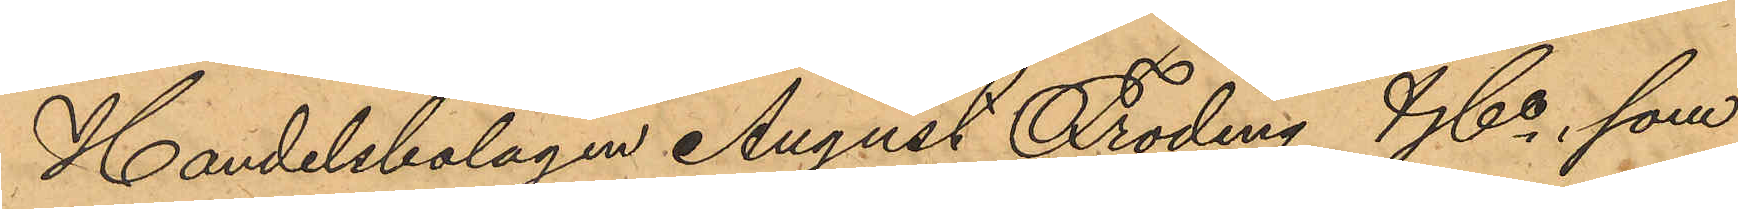Handelsbolagen August Fröding & Co, som
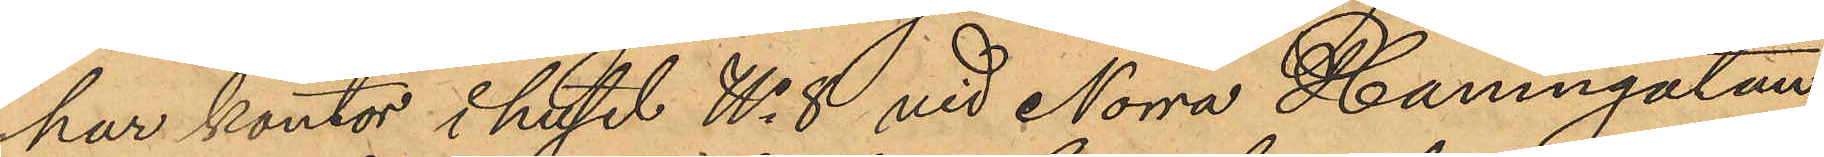har kontor i huset No 8 vid Norra Hamngatan,
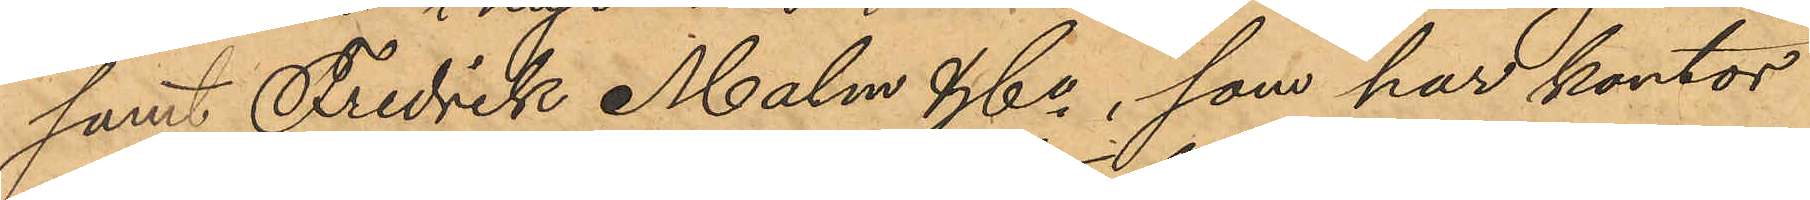samt Fredrik Malm & Co, som har kontor
